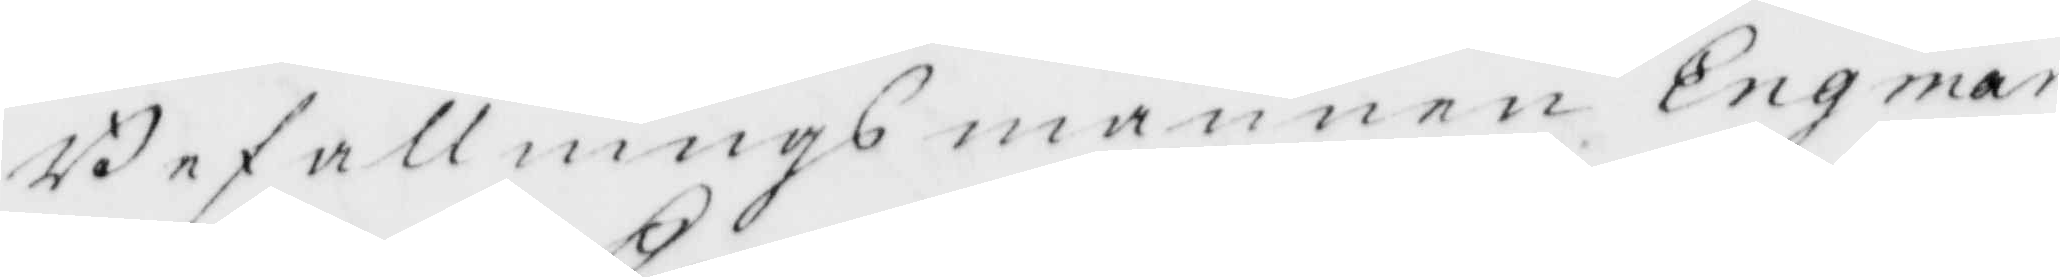Befallningsmannen Engman
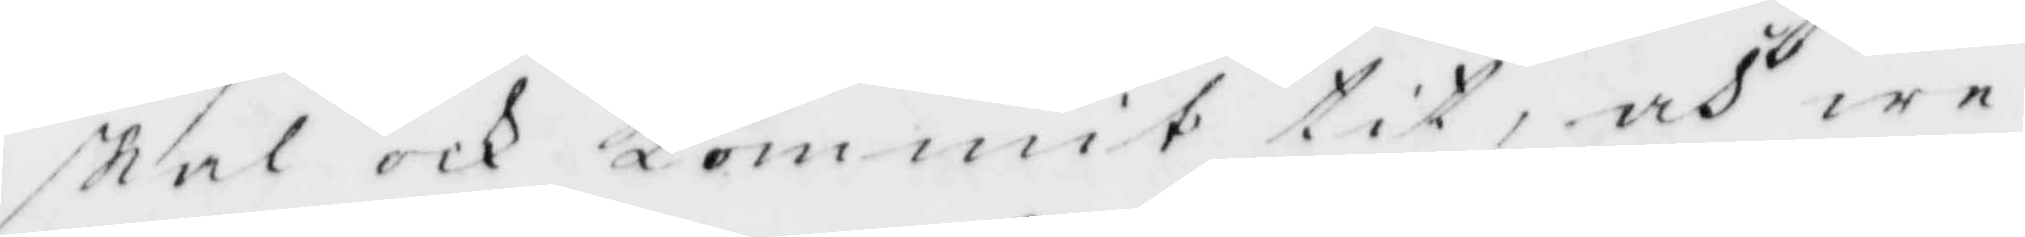skal ocj Kommit tit, och we¬
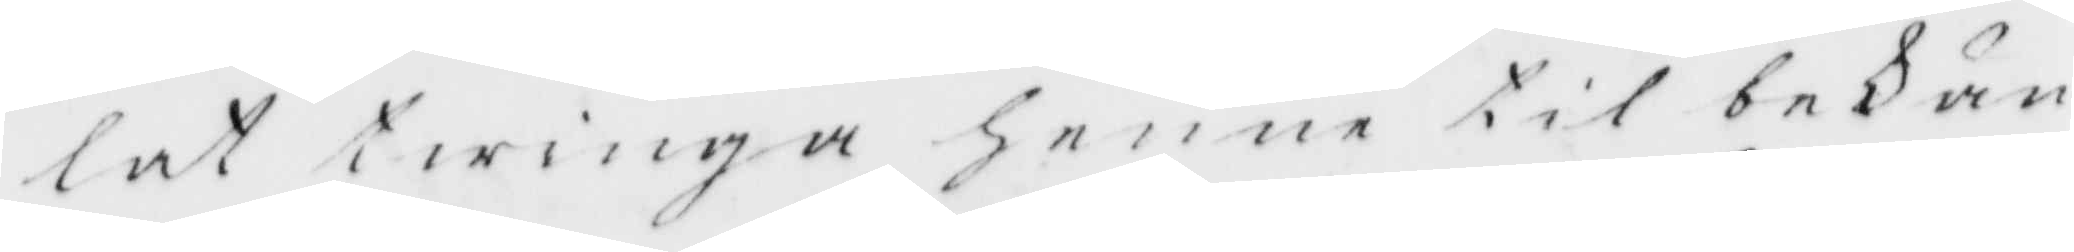lat twinga henne til bekän¬
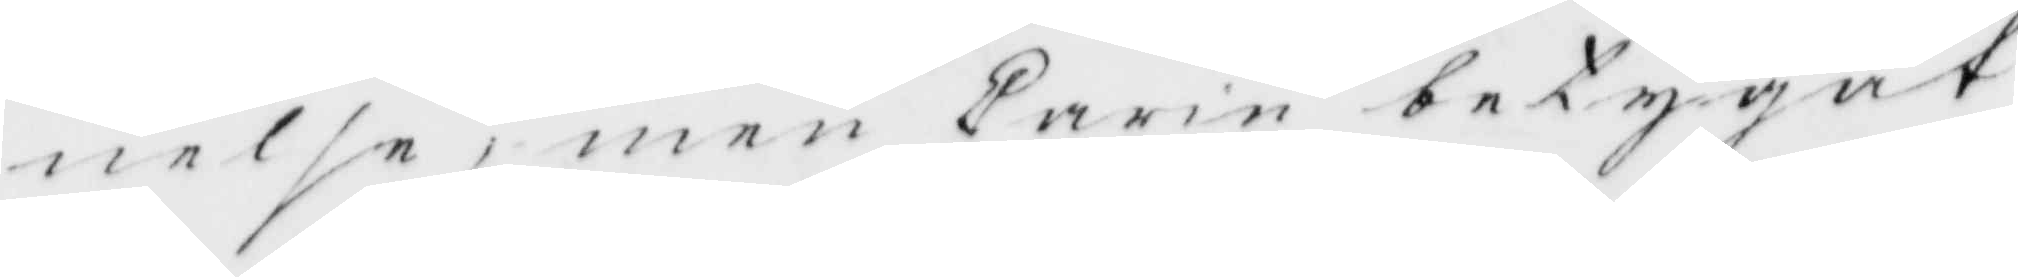nelse, men Carin betygadt
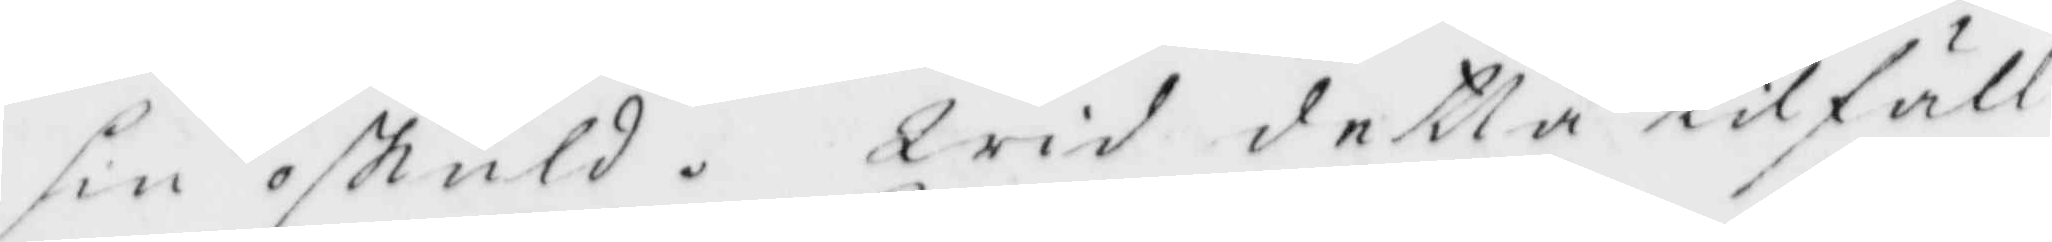sin oskuld. Wid detta tilfäll
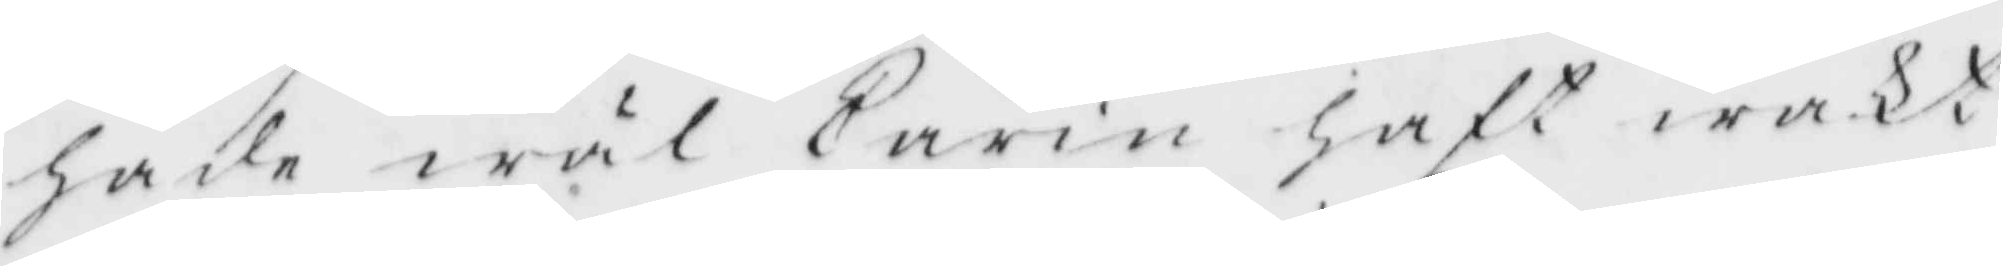hade wäl Carin haft wakt
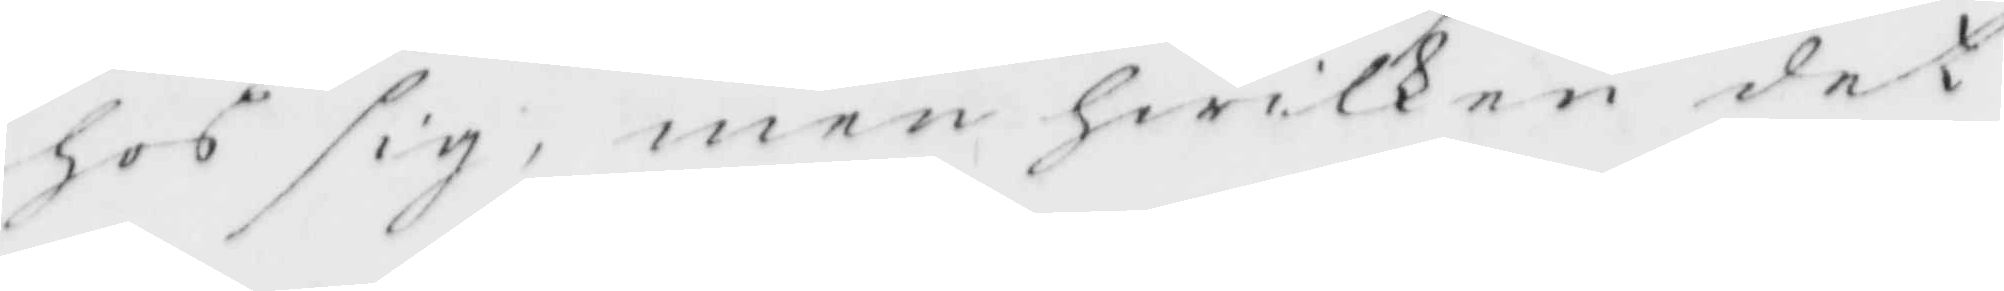hos dig, men hwilken det
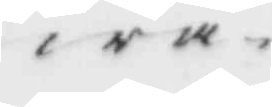wa
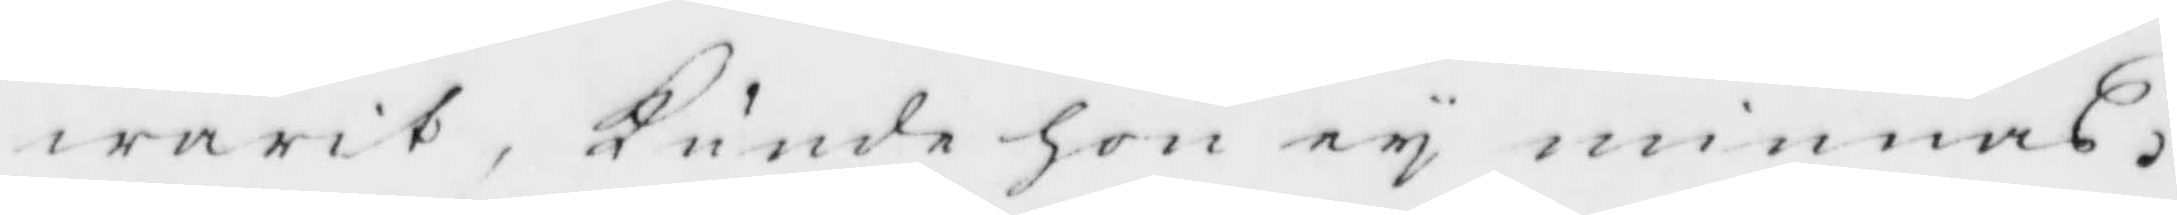warit, Kunde hon ey minnas,
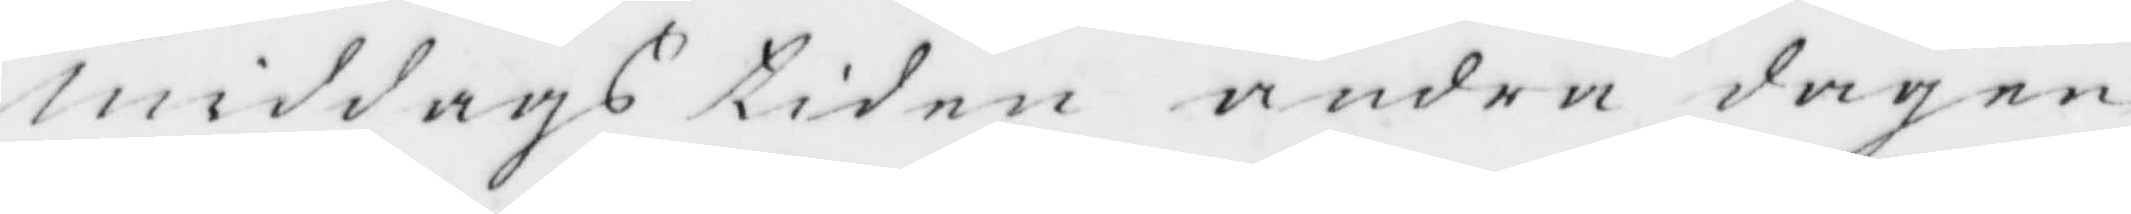Middags tiden andra dagen
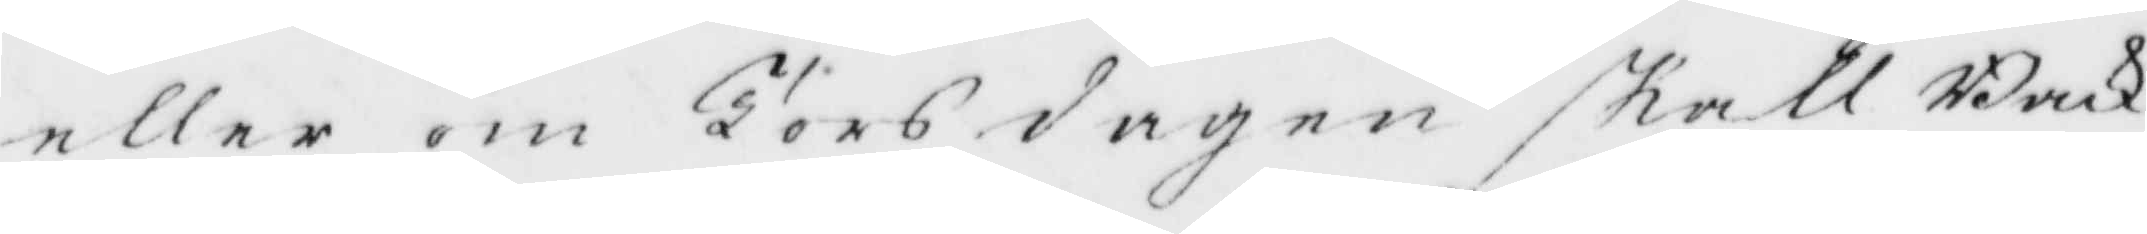eller om Torsdagen skall Back
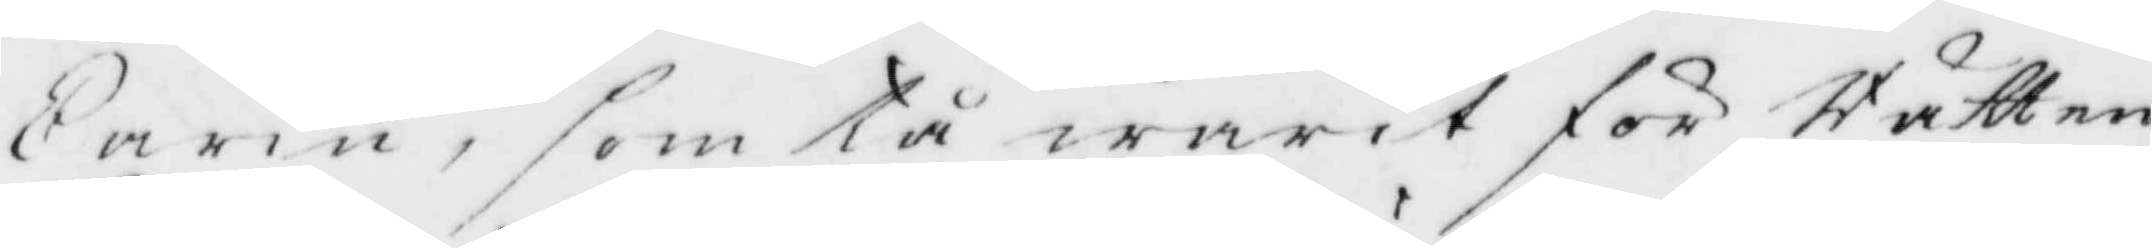Carin, som tå warit för Rätten
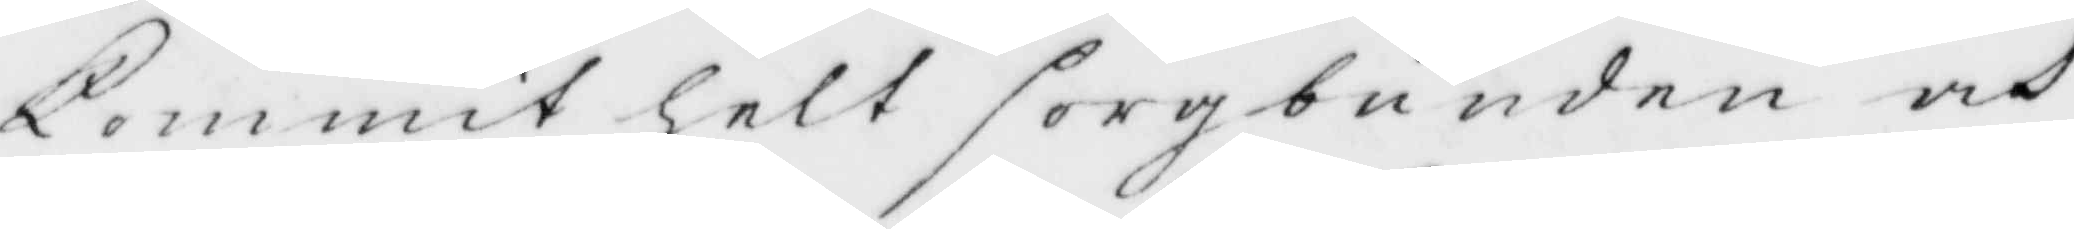Kommit helt sorgbunden och
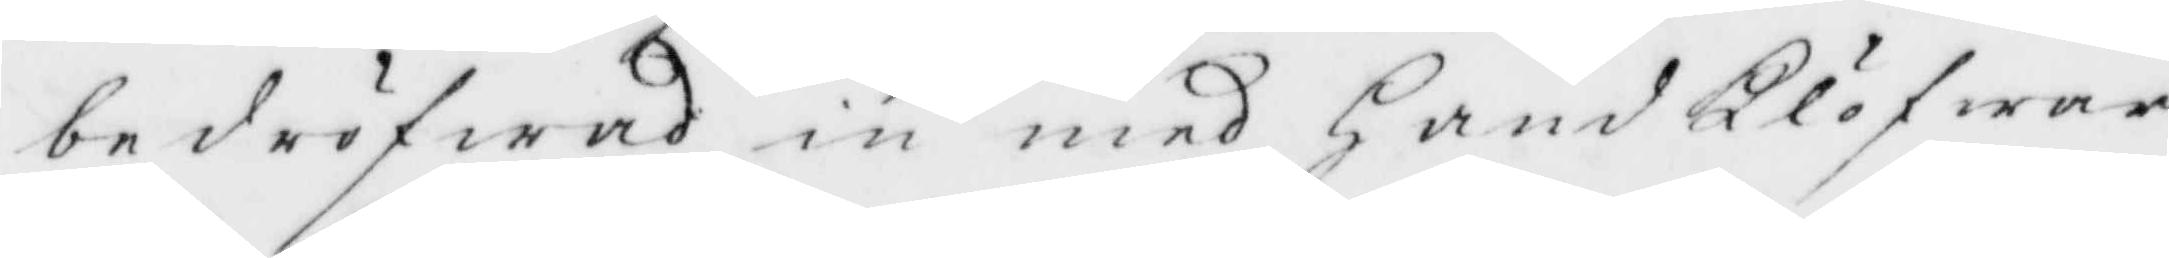bedröfwad in med HandKlöfwar
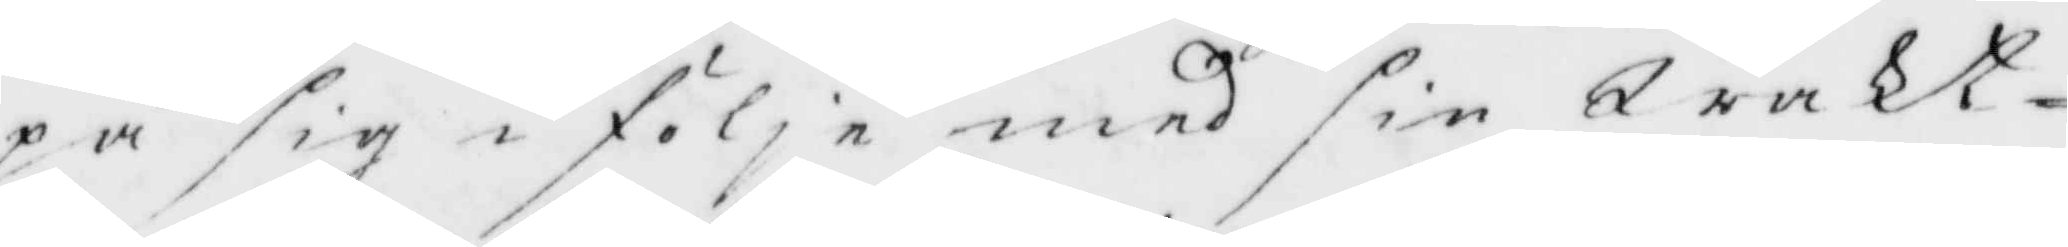på sig i föle med sin Wakt¬
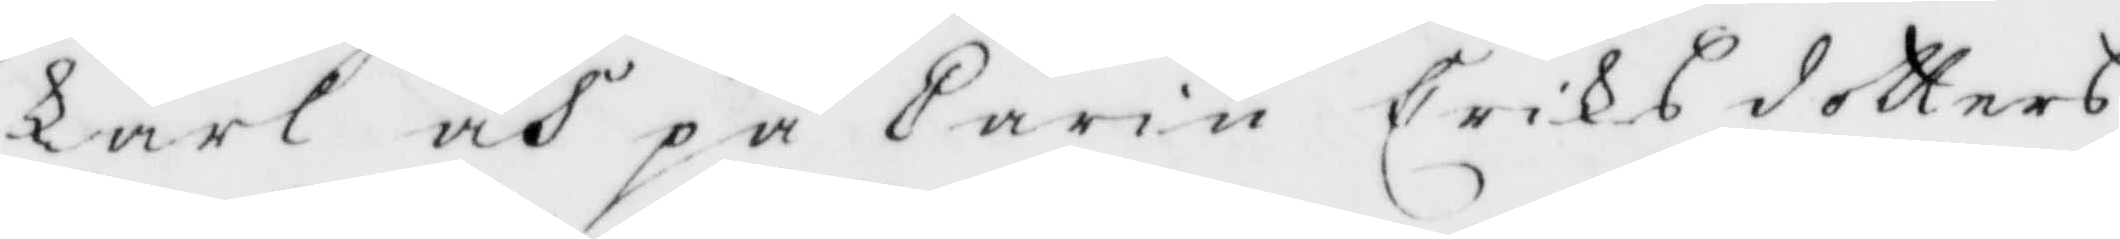karl och på Carin Eriks dotters
